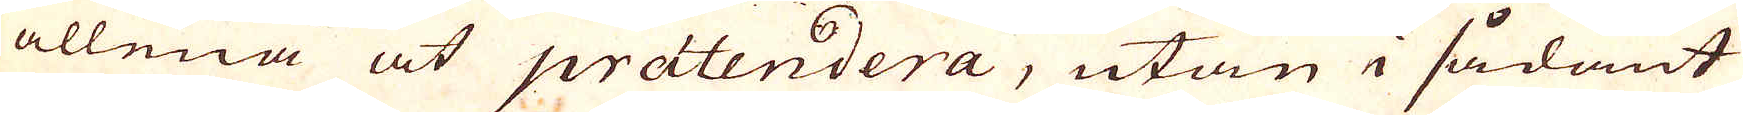allena at prätendera, utan i sådant
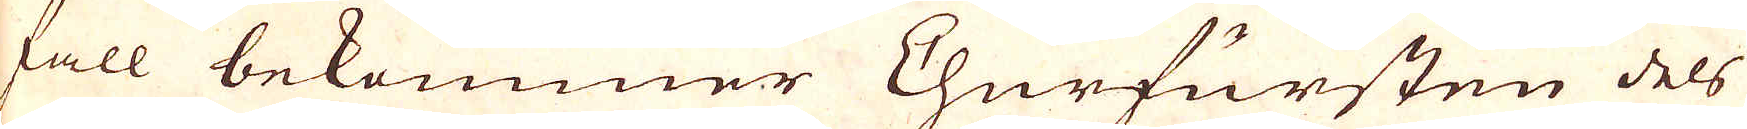fall bekommer Churfursten dels
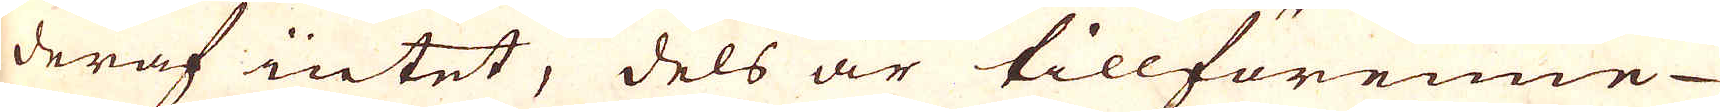deraf intet, dels är tillförenne
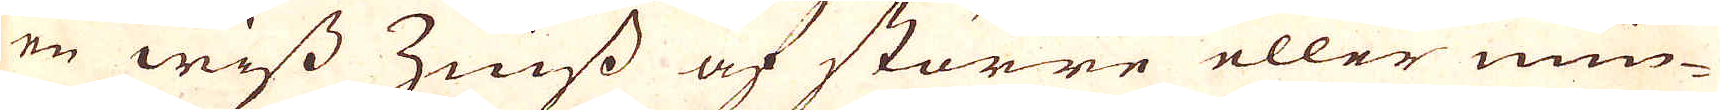en wiss Zeiss af större eller min-
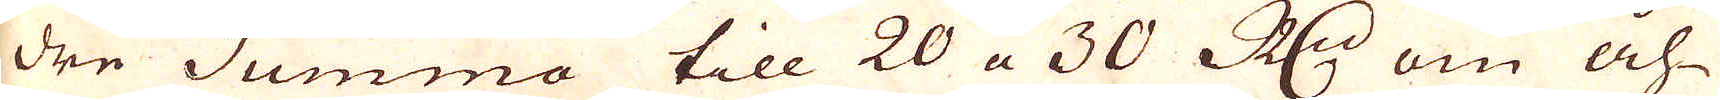dre Summa till 20 a 30 R:dr om åh-
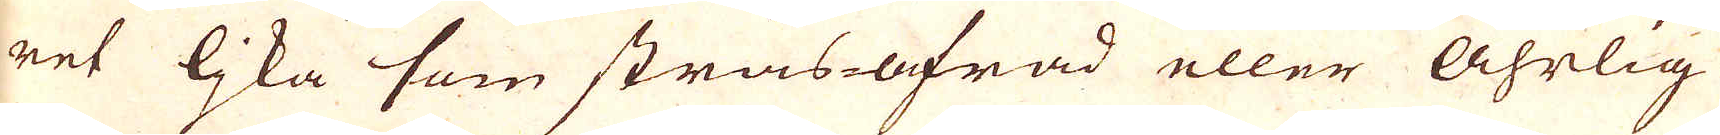ret ljka som strås-afrad eller åhrlig
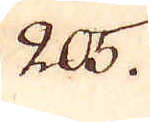205.
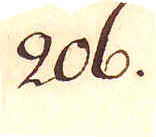206.
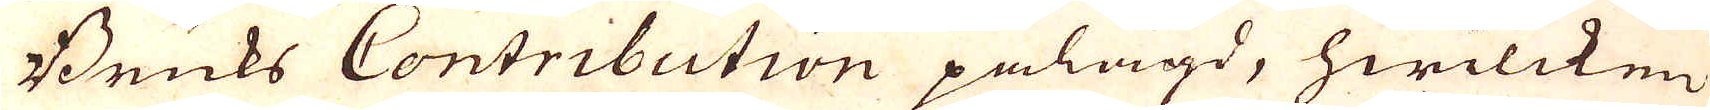Bruks Contribution pålagd, hwilcken
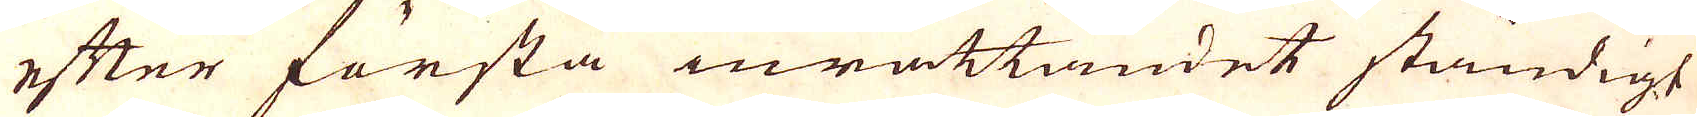efter första inrättandet ständigt
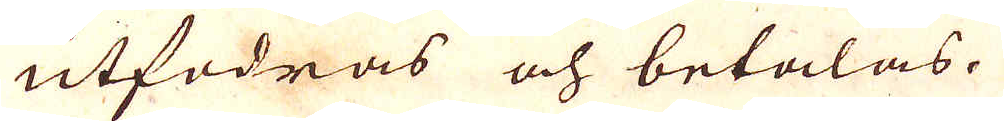utfodras och betalas.
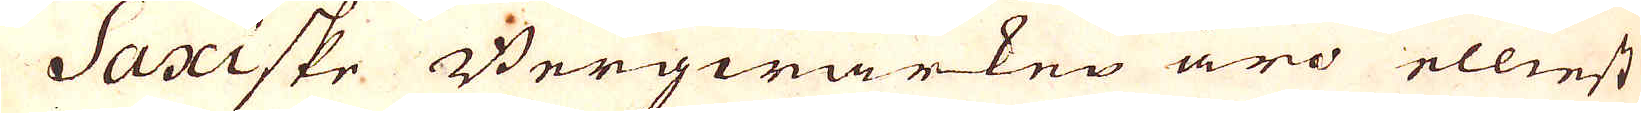Saxiske Bergwärken äro elliest
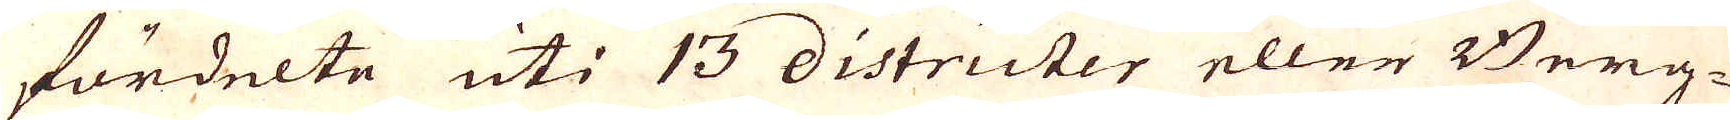fördelte uti 13 districter eller Berg-
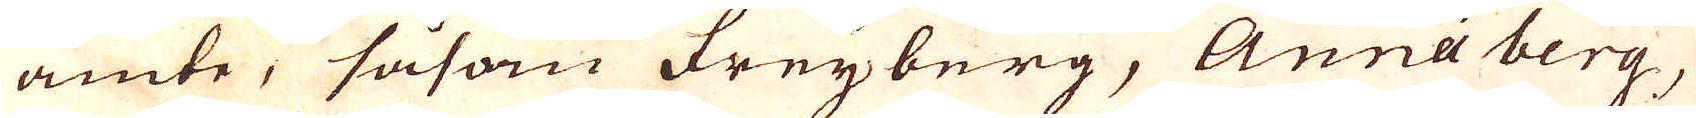amte, såsom Freyberg, Anna berg,
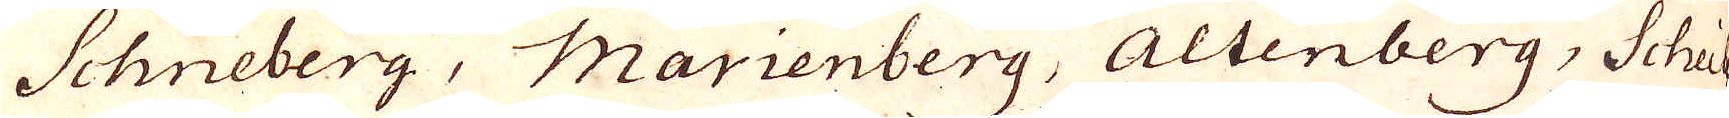Schneberg, Marienberg, Altenberg, Scheis
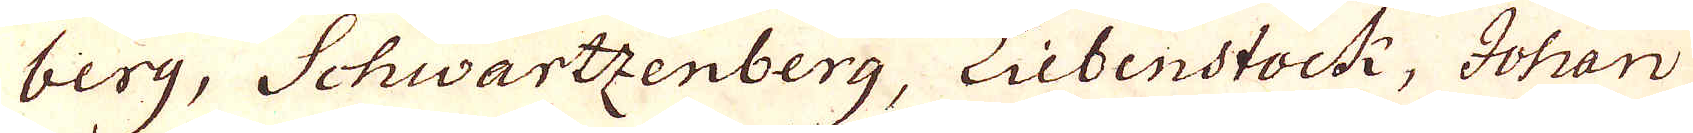berg, Schwartzenberg, Liebenstock, Johan
